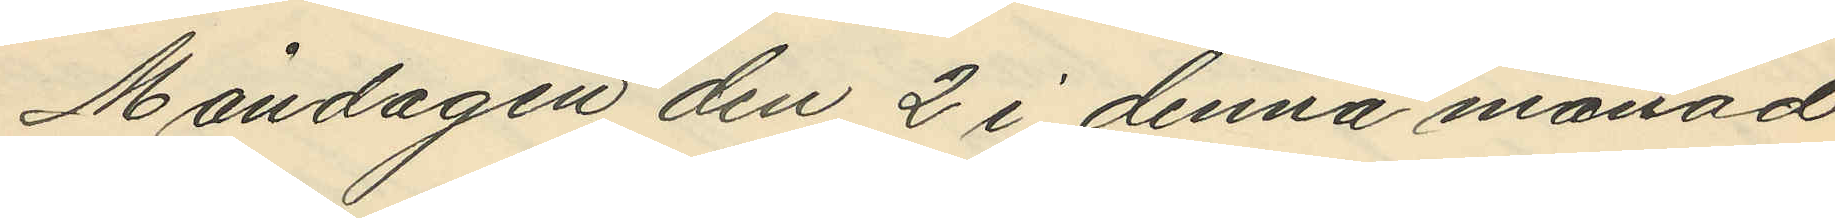Måndagen den 2 i denna månad
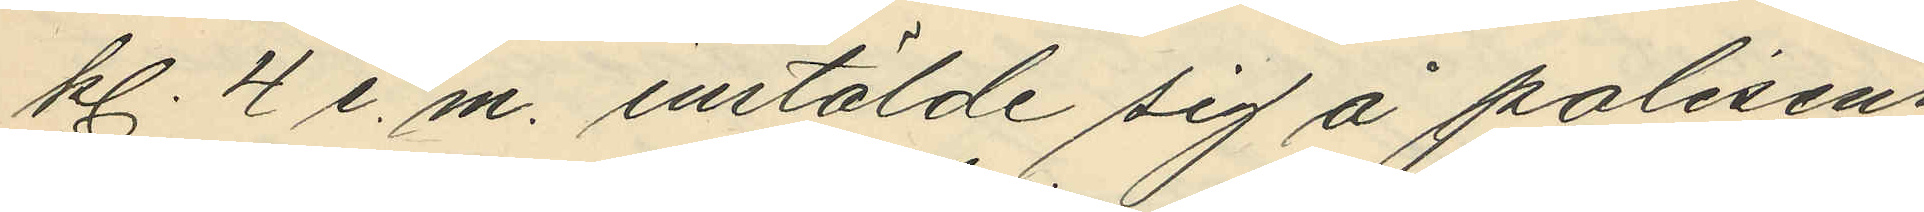kl. 4 e. m. instälde sig å polisens
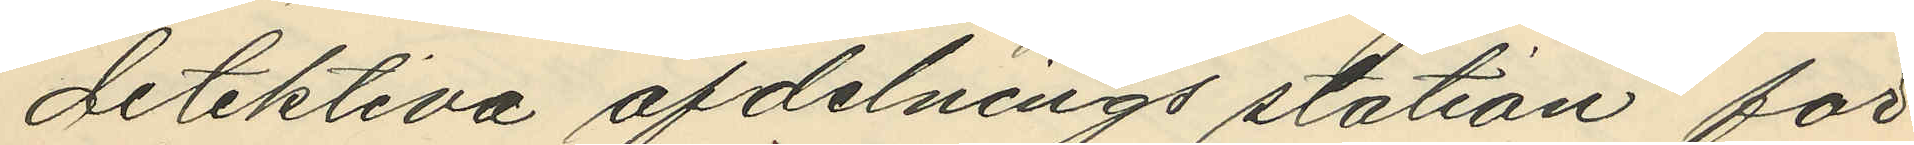detektiva afdelnings station för
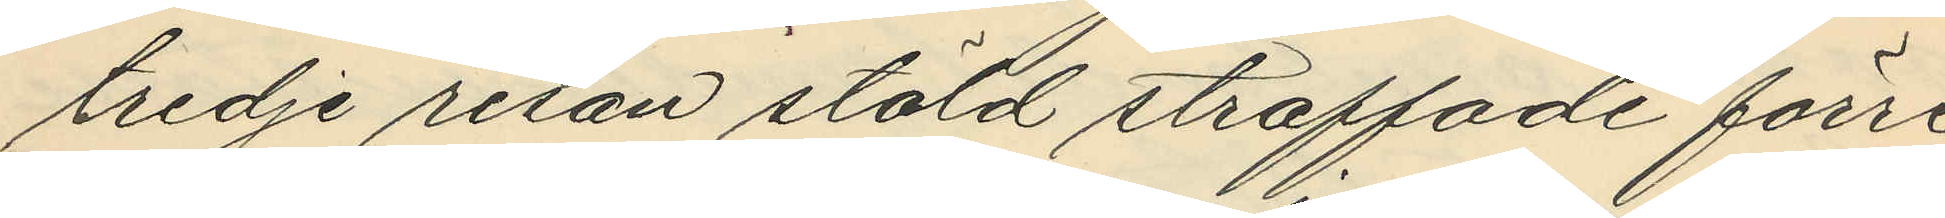tredje resan stöld straffade förre
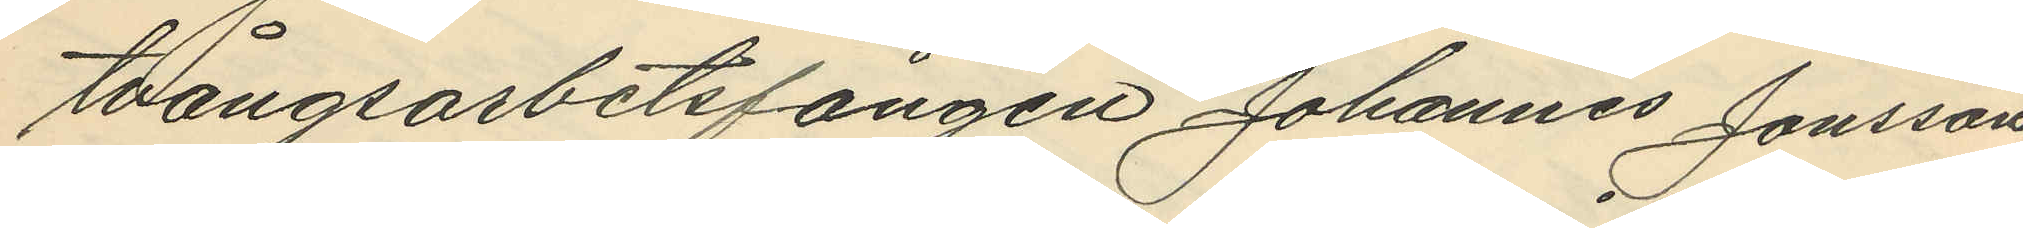tvångsarbetsfången Johannes Jonsson
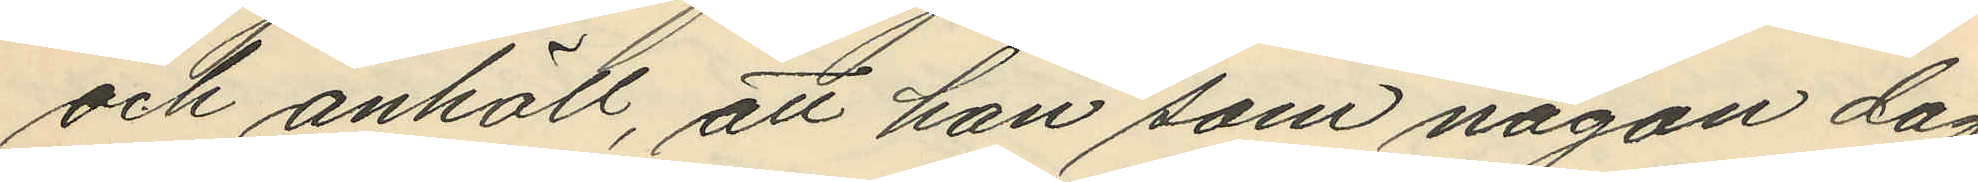och anhöll, att han som någon dag
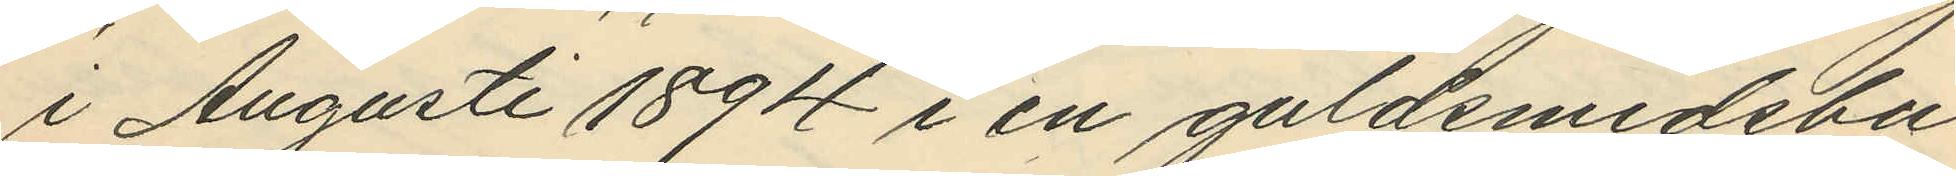i Augusti 1894 i en guldsmedsbu¬
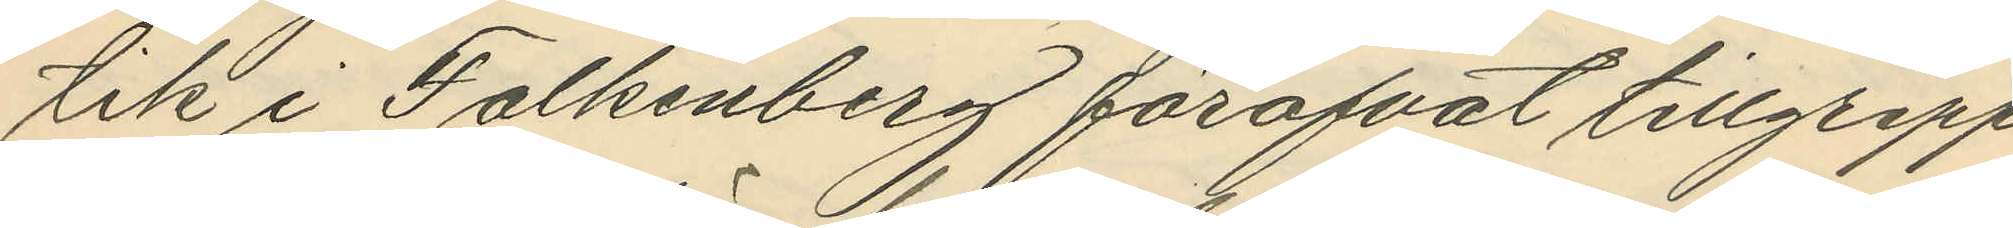tik i Falkenberg föröfvat tillgrepp
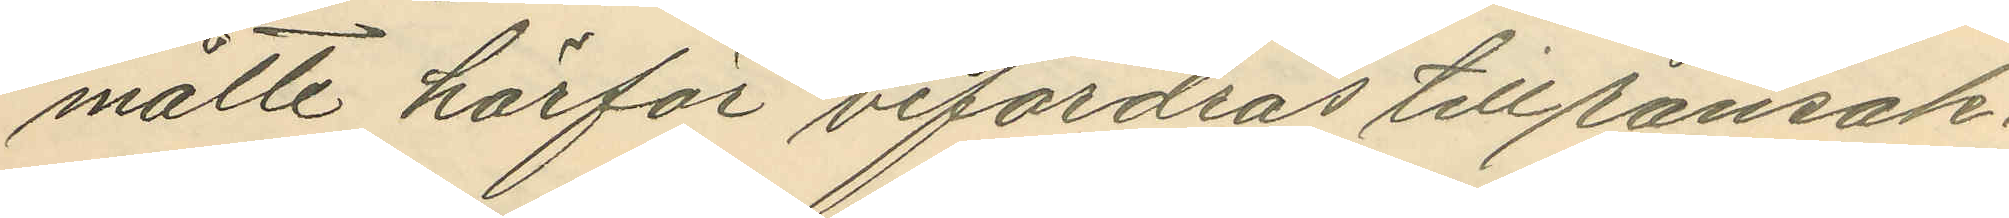måtte härför befordras till ransak¬
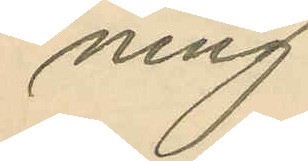ning.
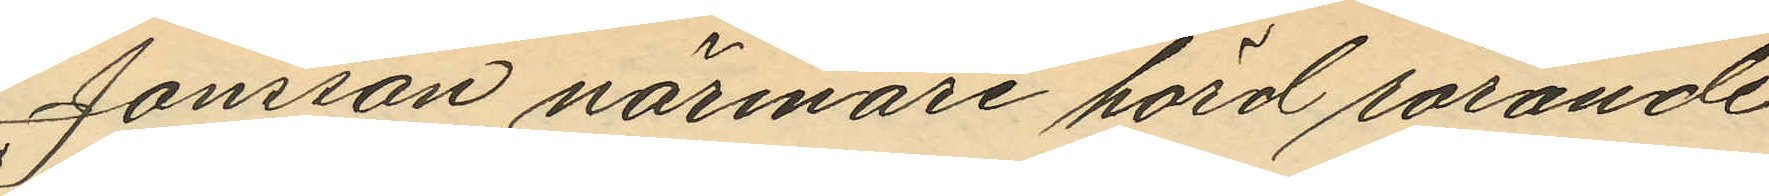Jonsson närmare hörd rörande
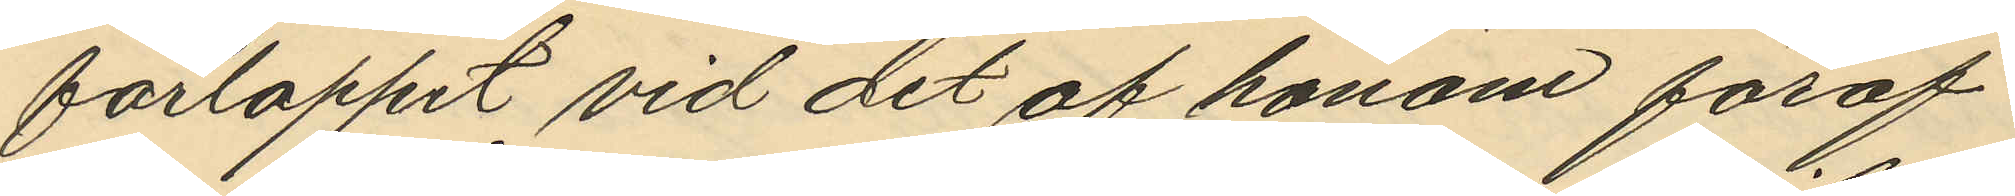förloppet vid det af honom föröf¬
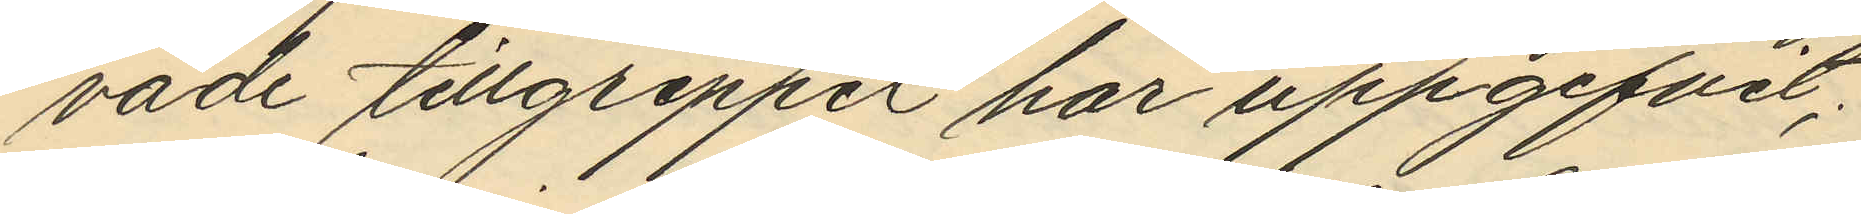vade tillgreppet har uppgifvit;
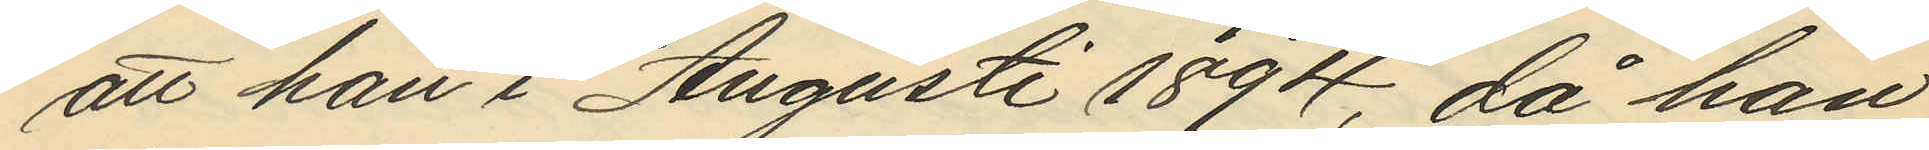att han i Augusti 1894, då han
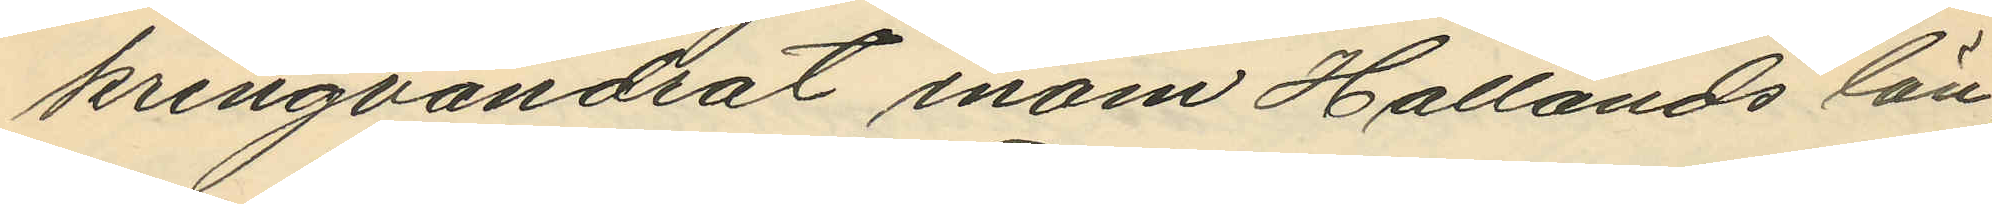kringvandrat inom Hallands län,
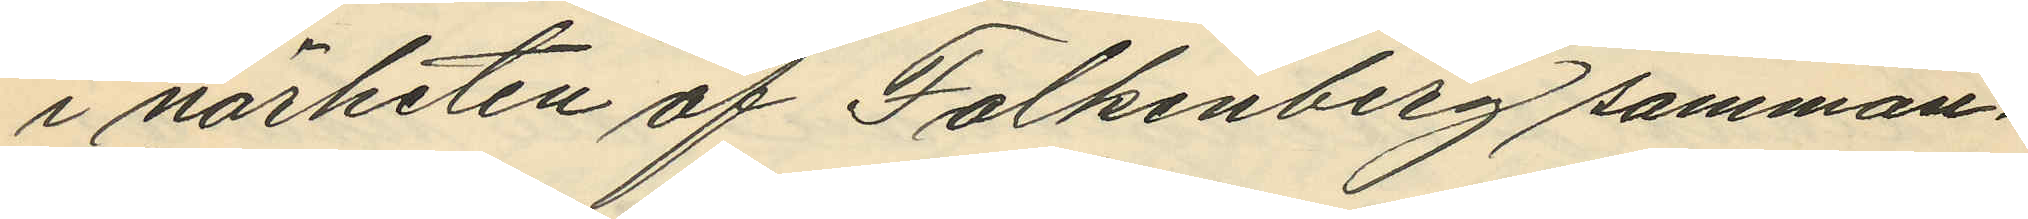i närheten af Falkenberg samman¬
